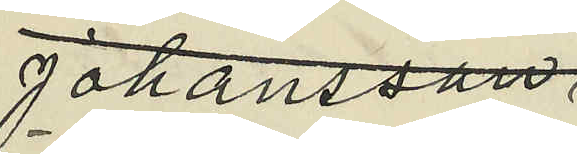Johansson
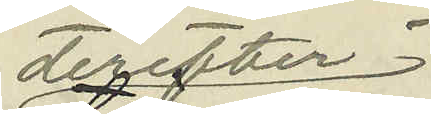derefter
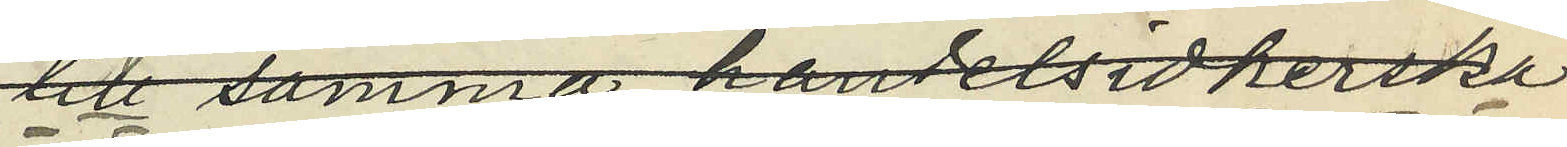till samma handelsidkerska
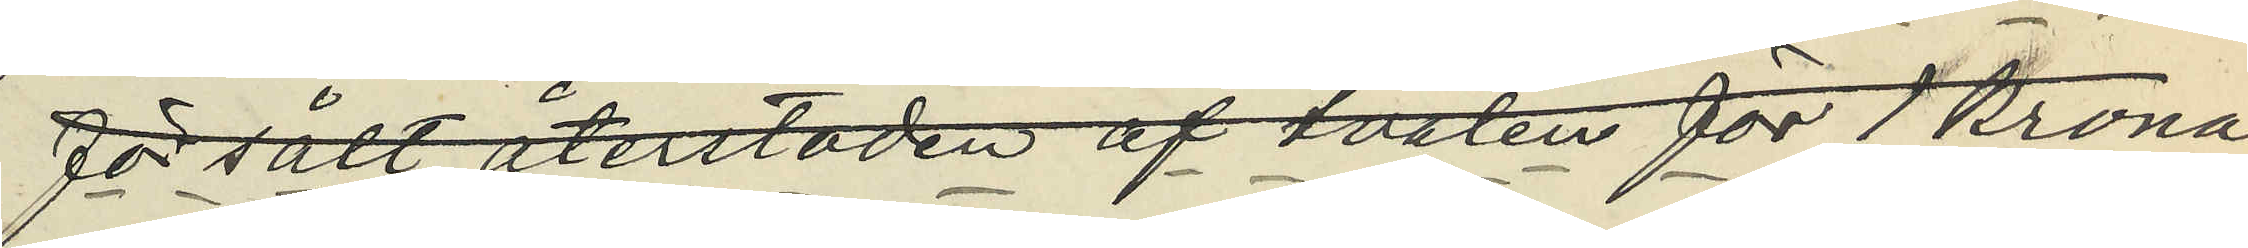försålt återstoden af tvålen för 1 Krona
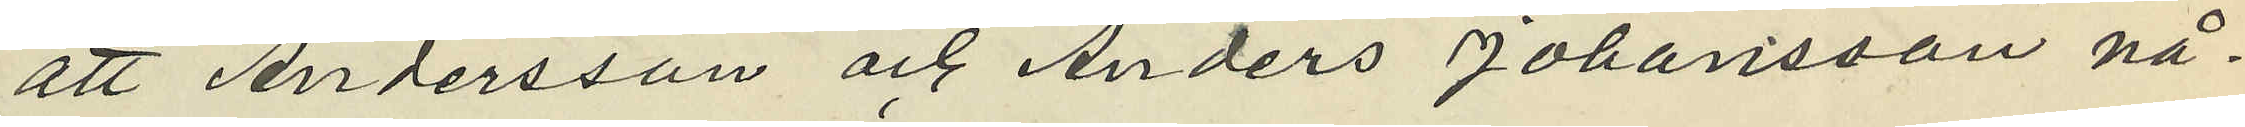att Andersson och Anders Johansson nå¬
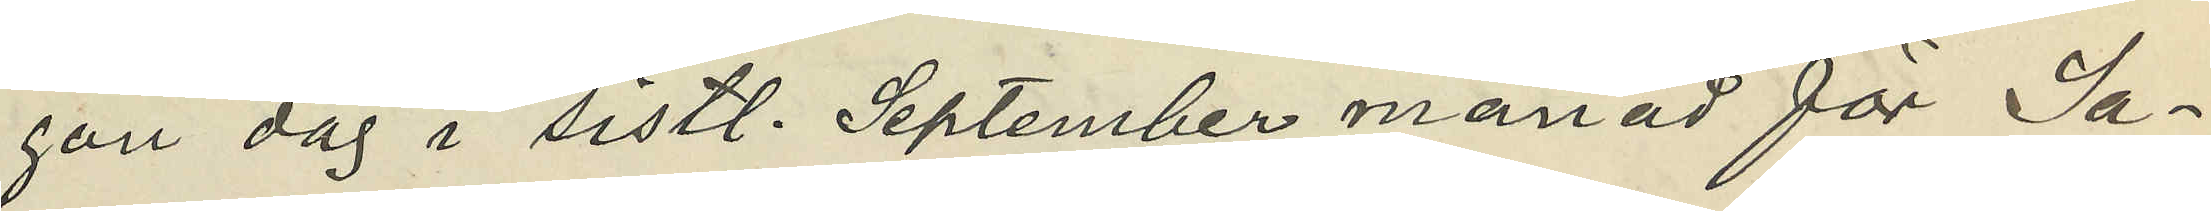gon dag i sistl. September månad för Sa¬
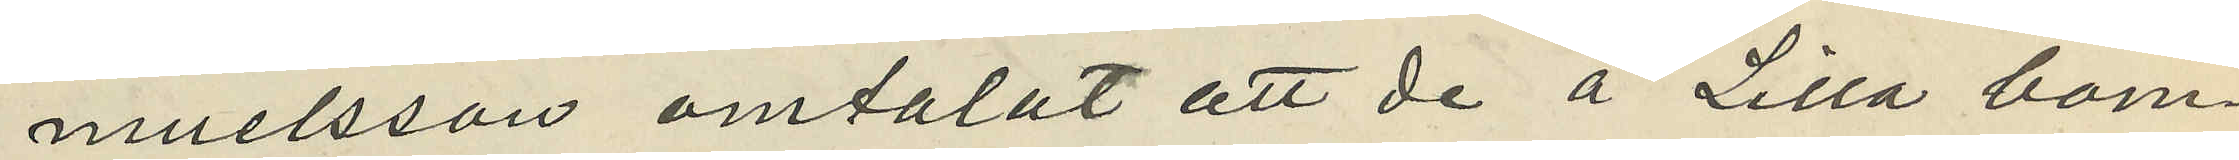muelsson omtalat att de å Lilla bom¬
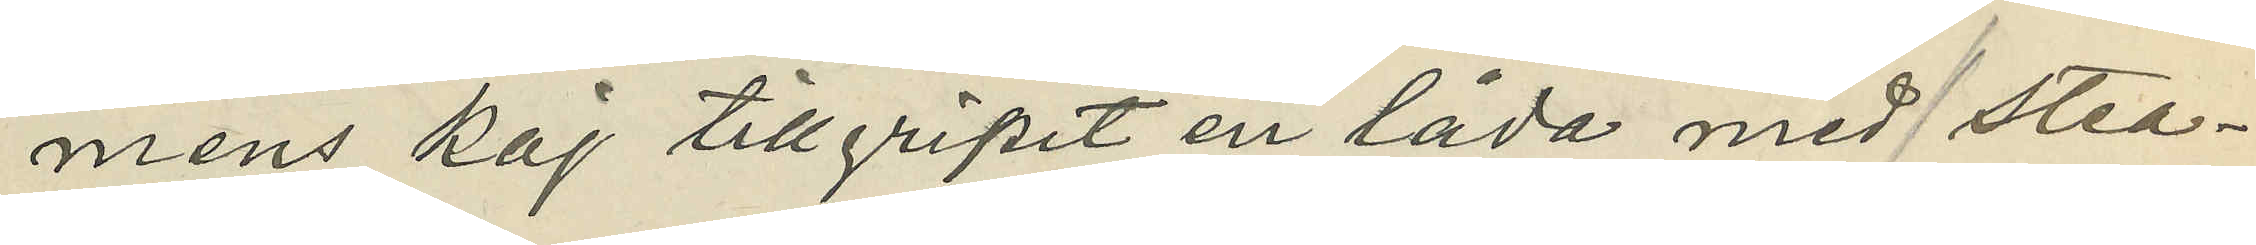mens kaj tillgripit en låda med stea¬
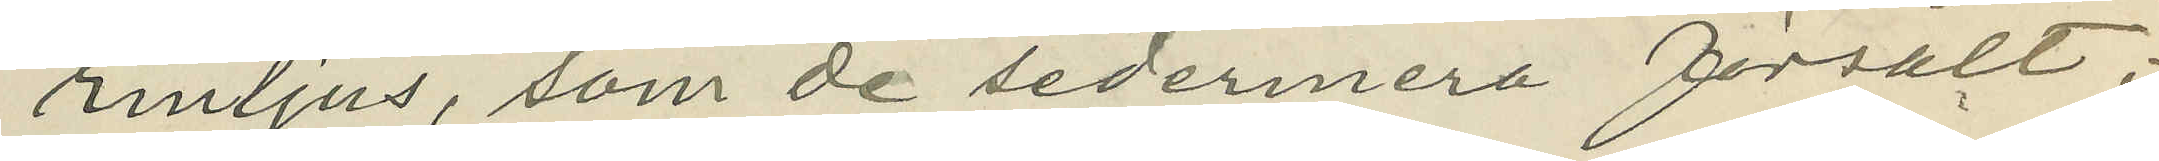rinljus, som de sedermera försålt,
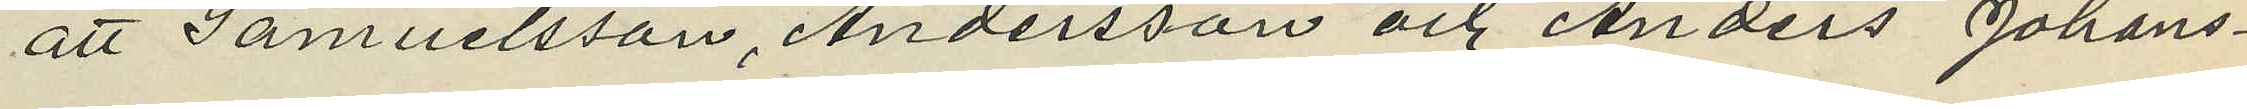att Samuelsson, Andersson och Anders Johans¬
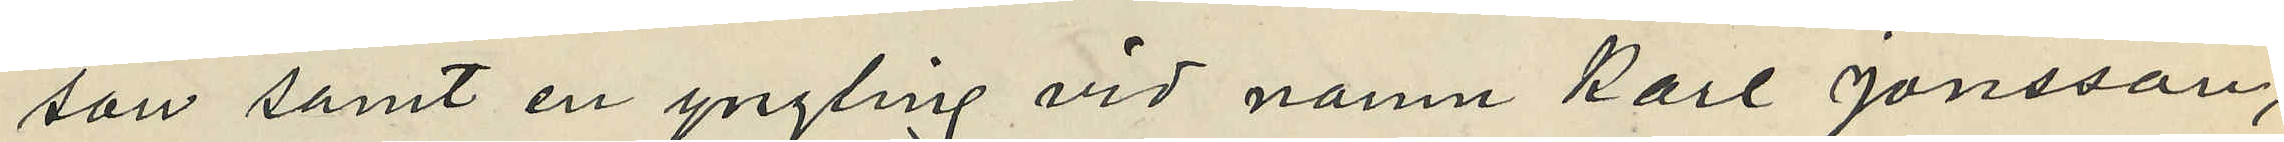son samt en yngling vid namn Karl Jonsson,
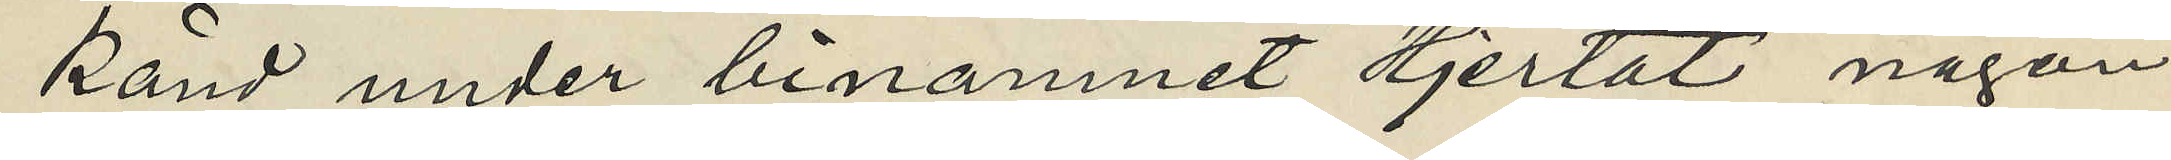känd under binamnet "Hjertat" någon
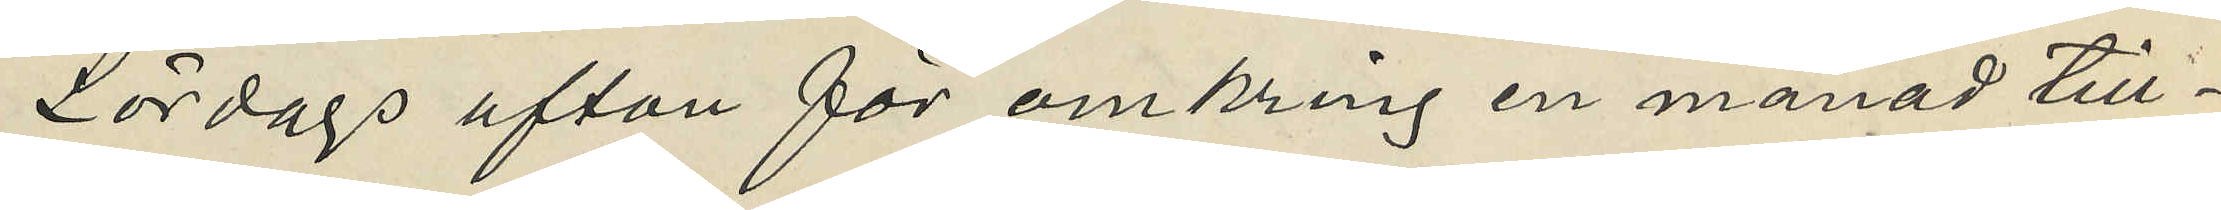Lördags afton för omkring en månad till¬
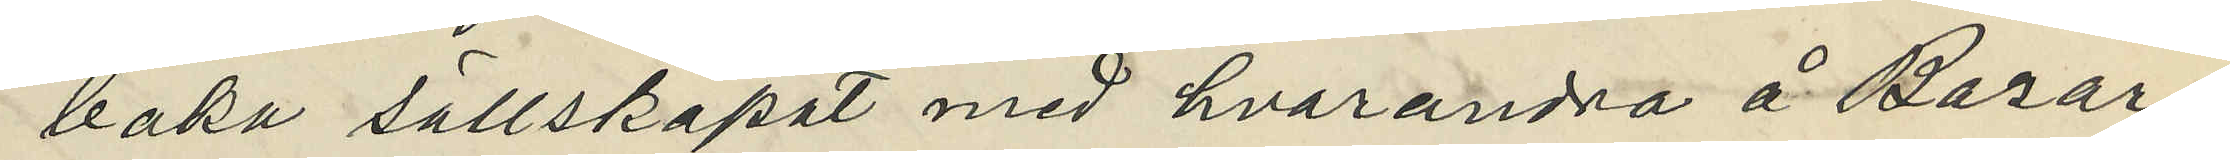baka sällskapat med hvarandra å Bazar¬
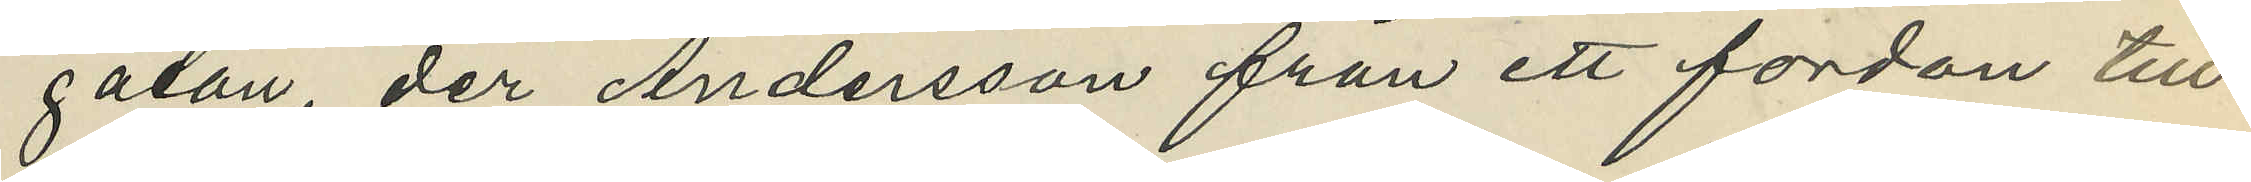gatan, der Andersson från ett fordan till¬
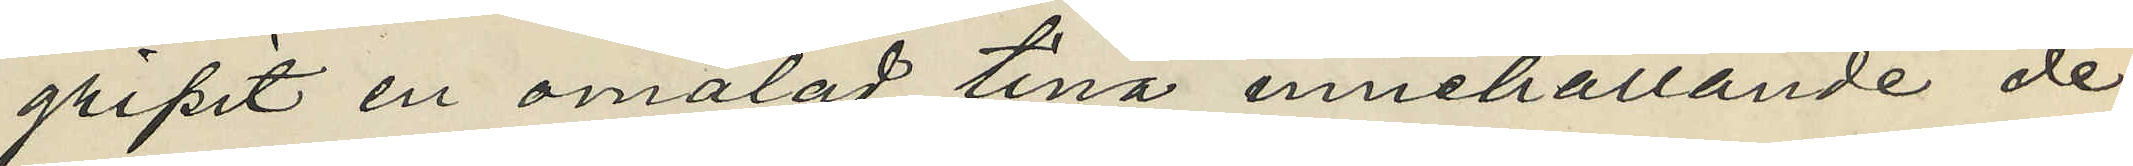gripit en omålad tina innehållande de
